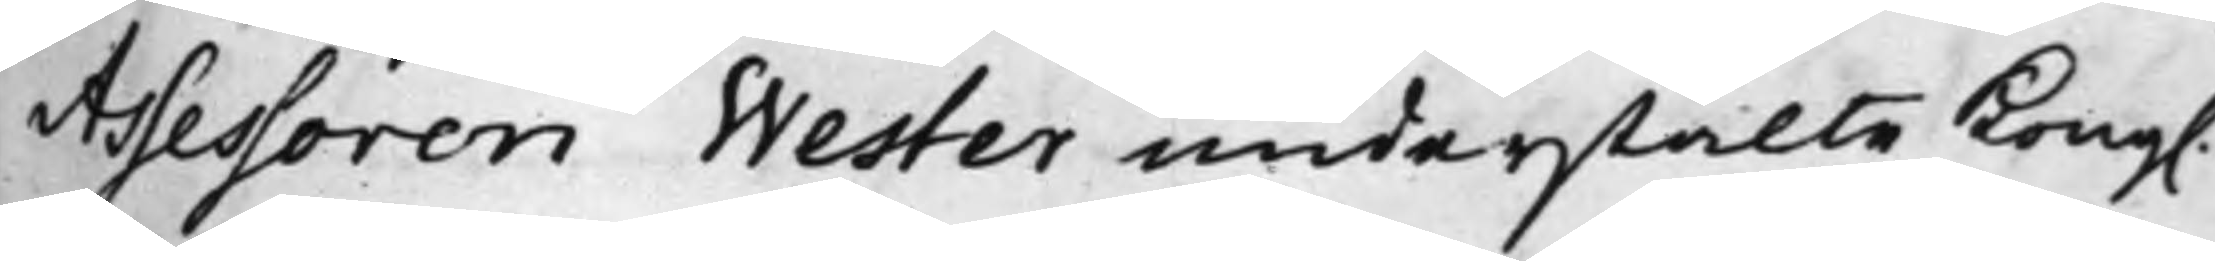Assessoren Wester understälte Kong.
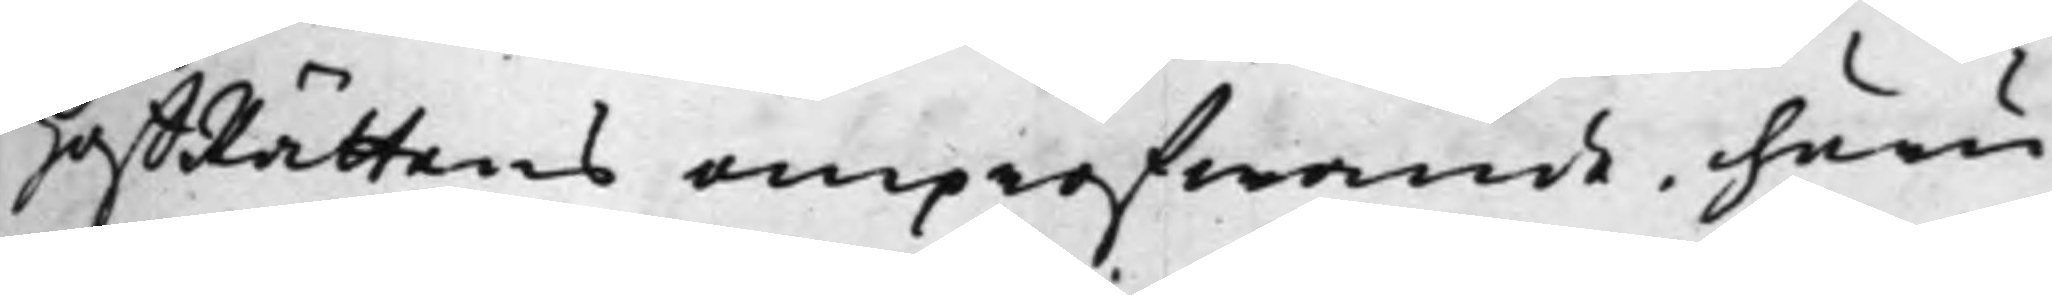HoffRättens ompröfwande, huru¬
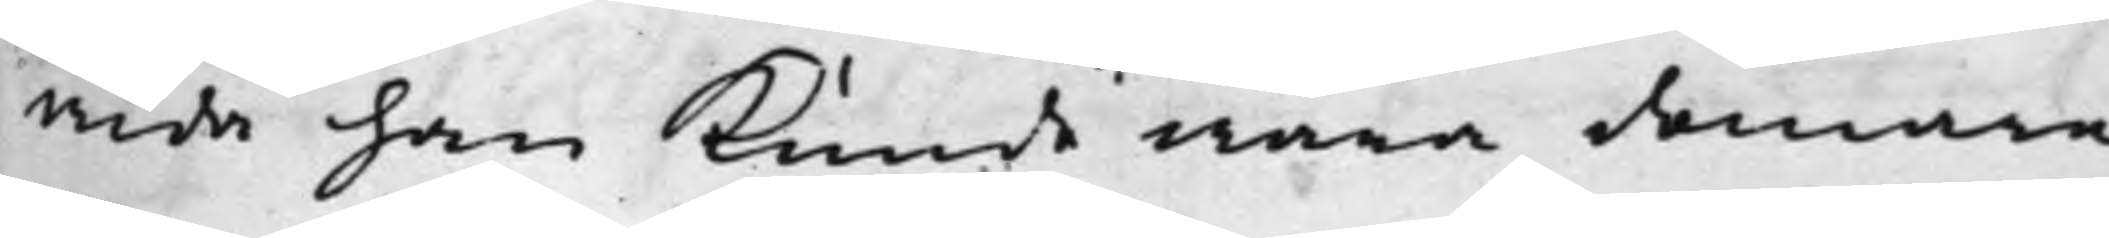wida han Kunde wara domare
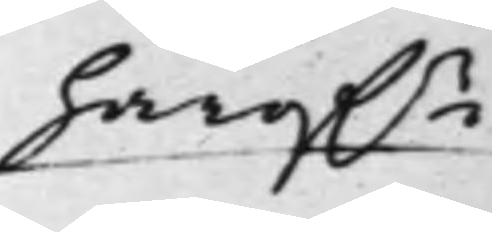häröf.r
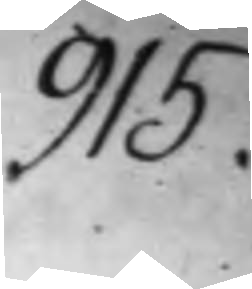915.
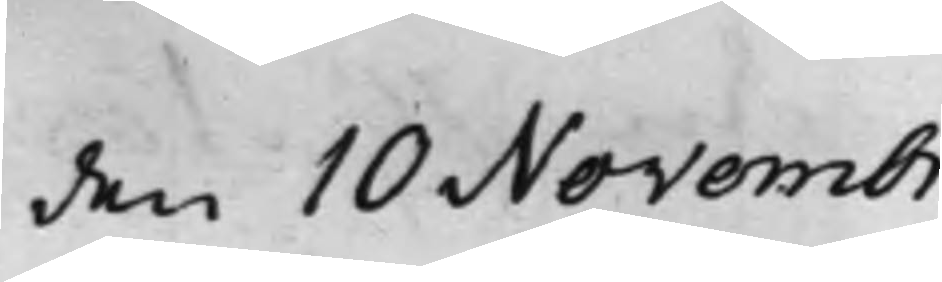den 10 Novembr.
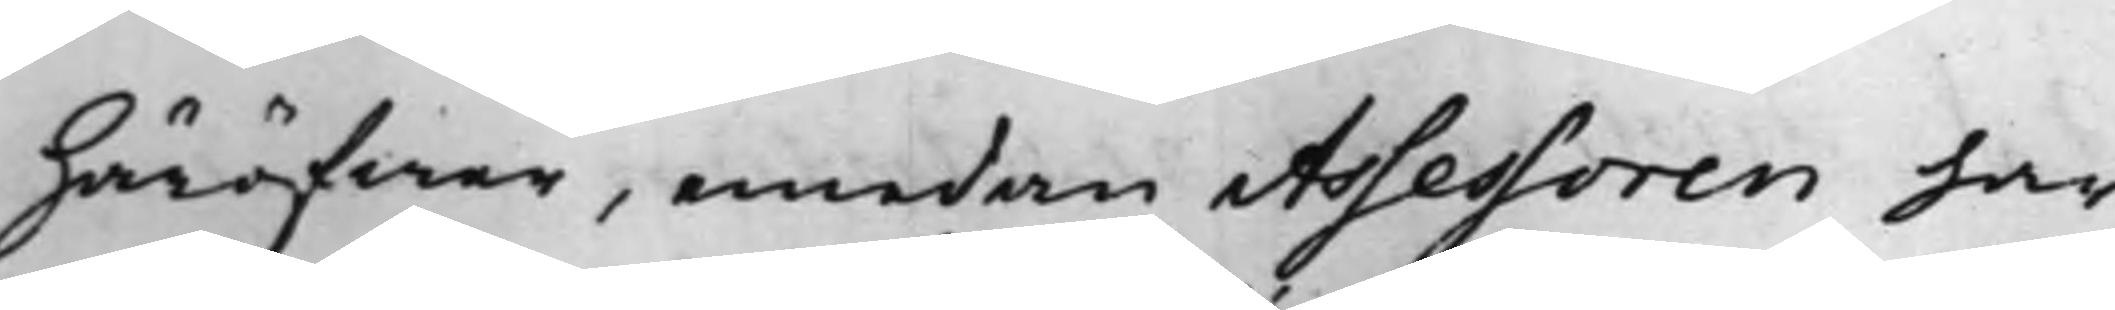häröfwer, emedan Assessoren har
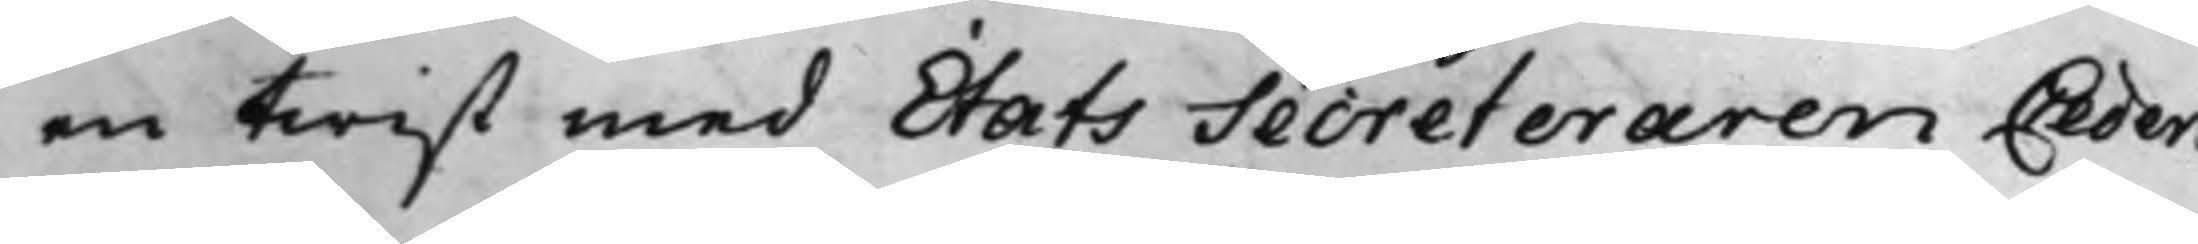en twist med Stats Secreteraren Ceder¬
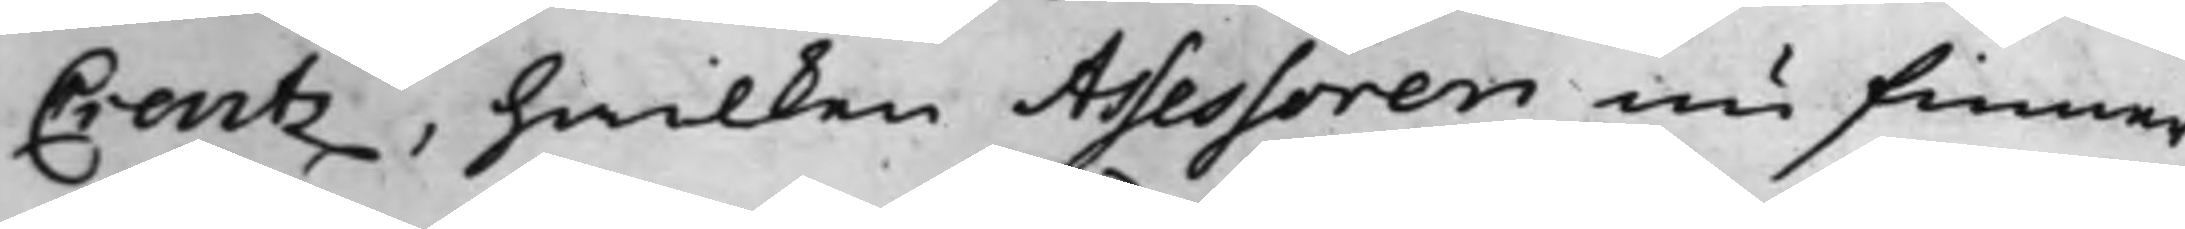Creutz, hwilken Assessoren nu finner
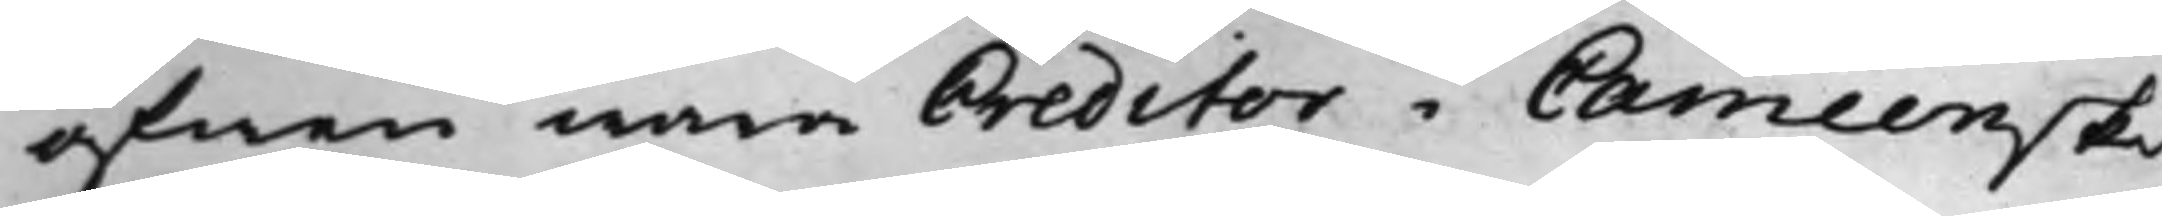äfwen wara Creditor i Cameenske
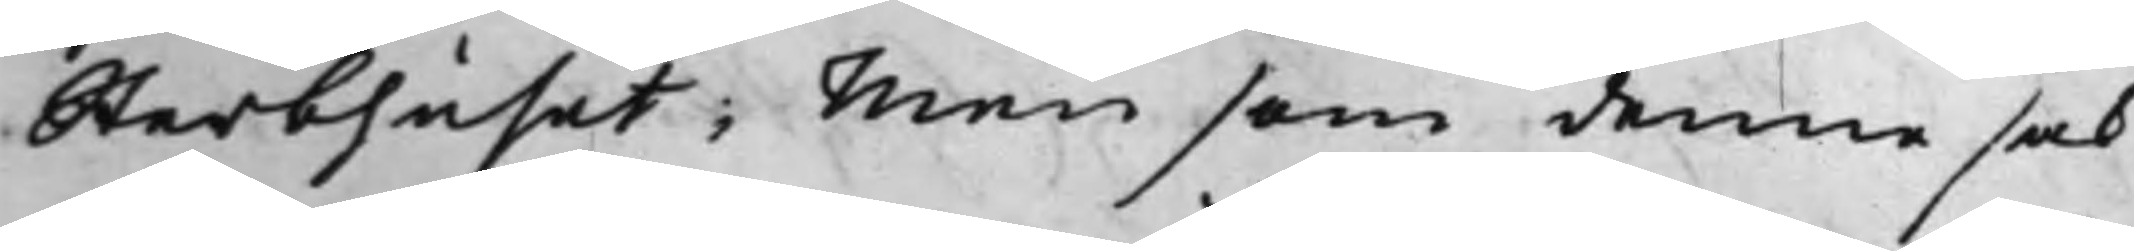Sterbhuset; Men som denne sak
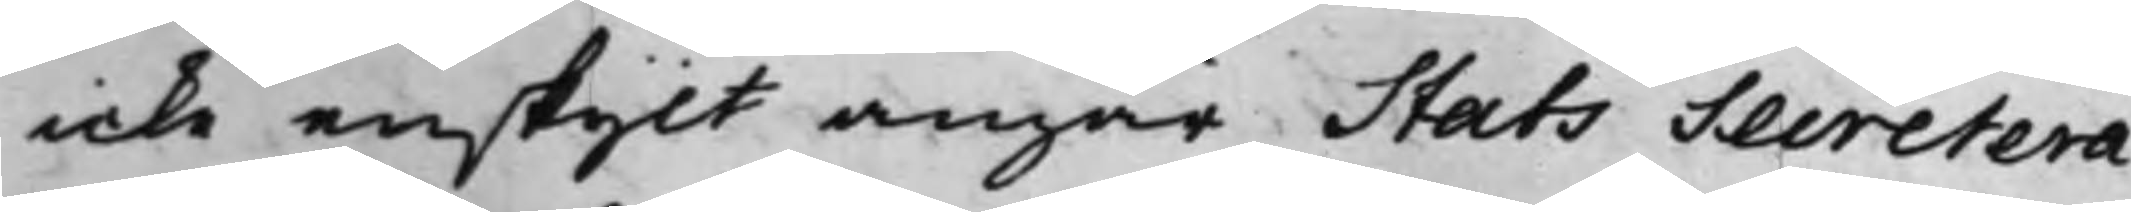icke enskijlt angår Stats Secretera¬
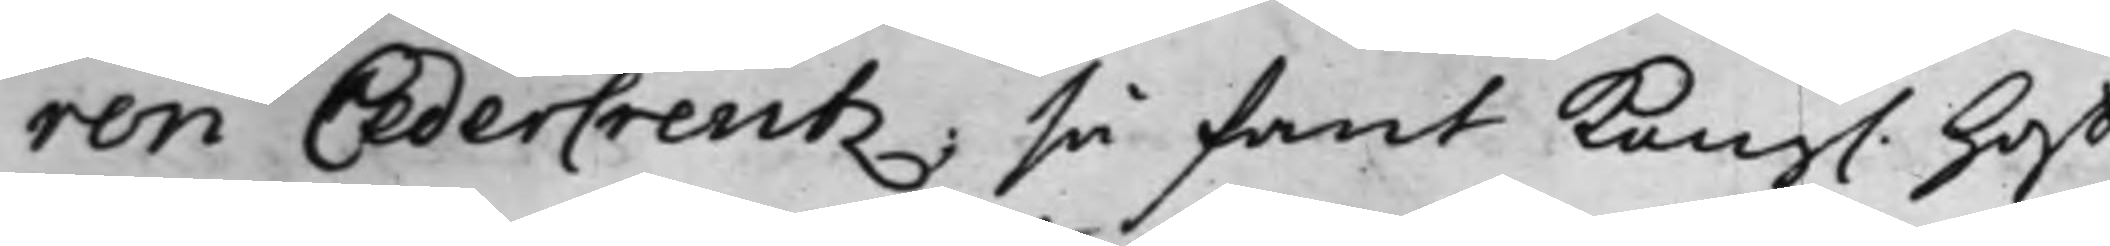ren Cedercreutz; så fant Kong. Hoff¬
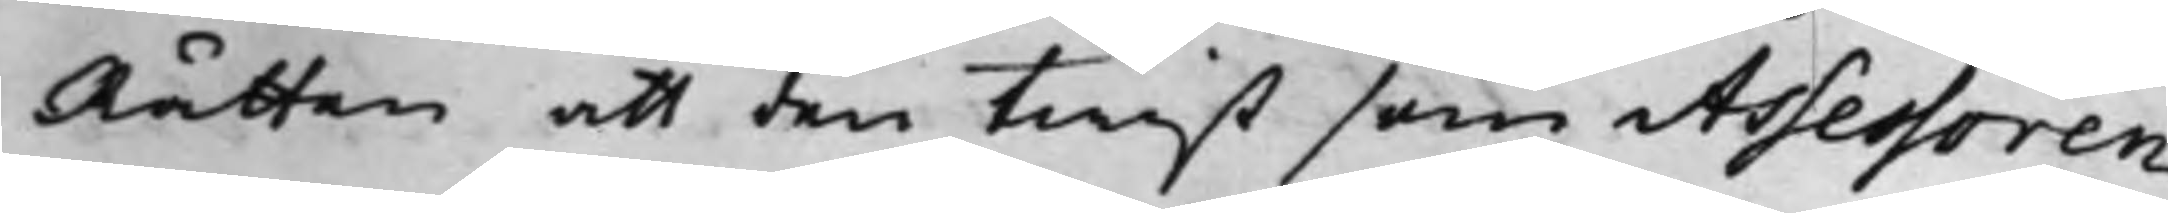Rätten att den twist som Assessoren
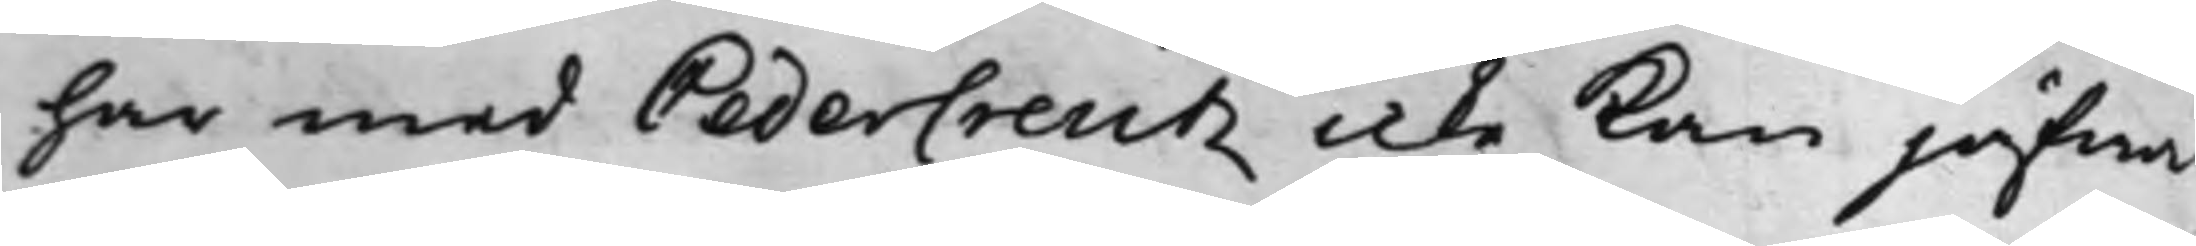har med Cedercreutz icke Kan jäfwa
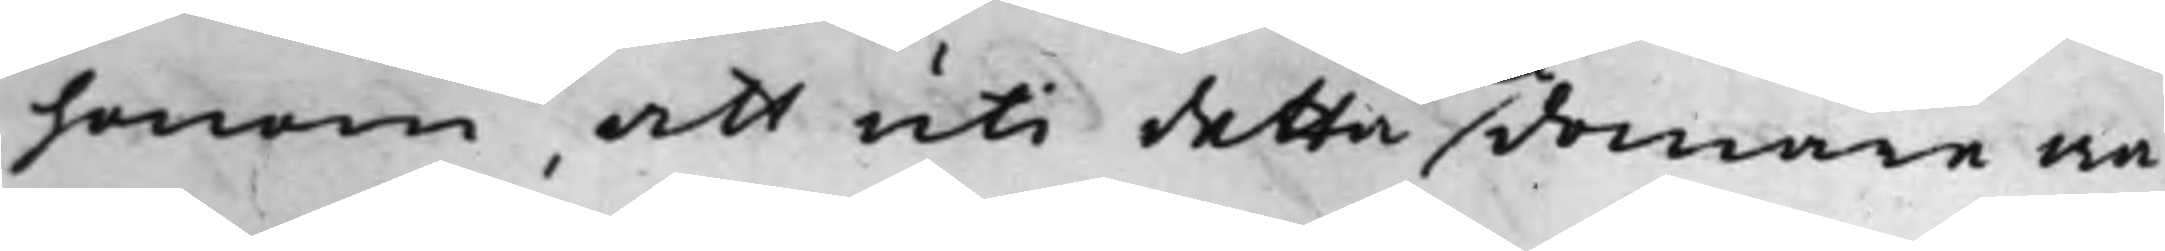honom, att uti detta domare wa¬
